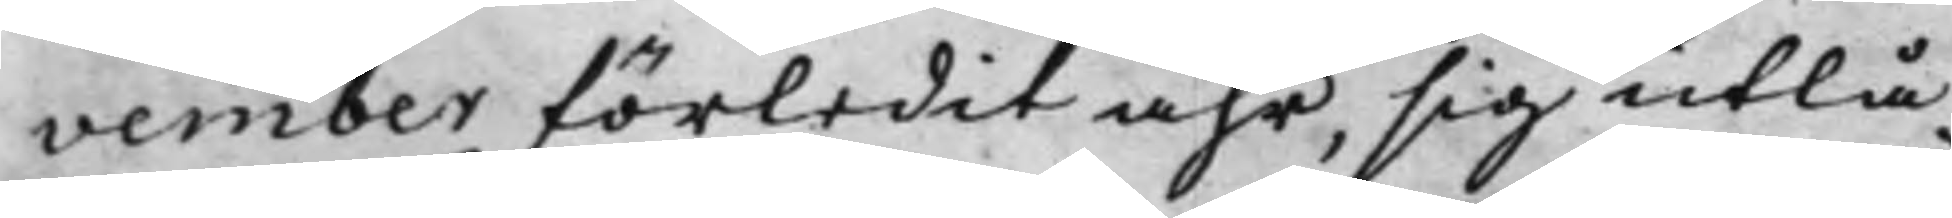vember förledit åhr, sig utlå¬
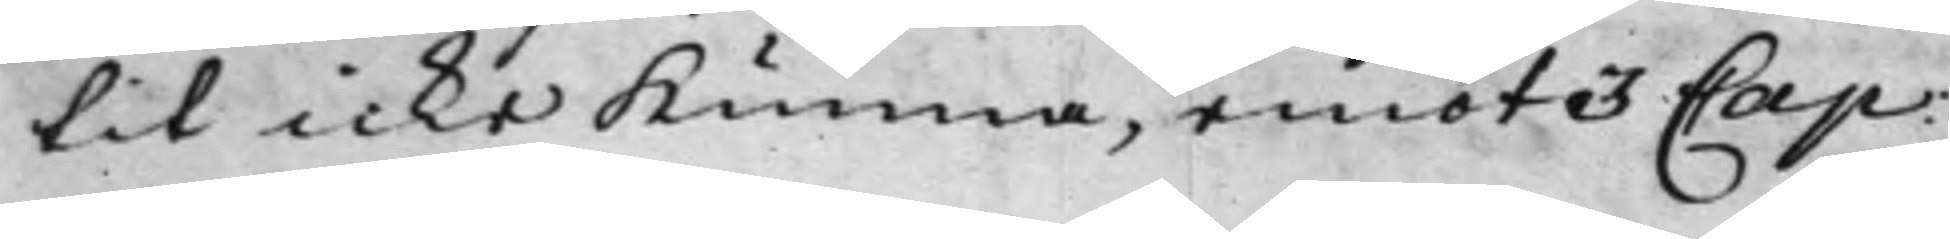tit icke Kunna, emot 3 Cap:
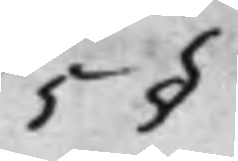5 §
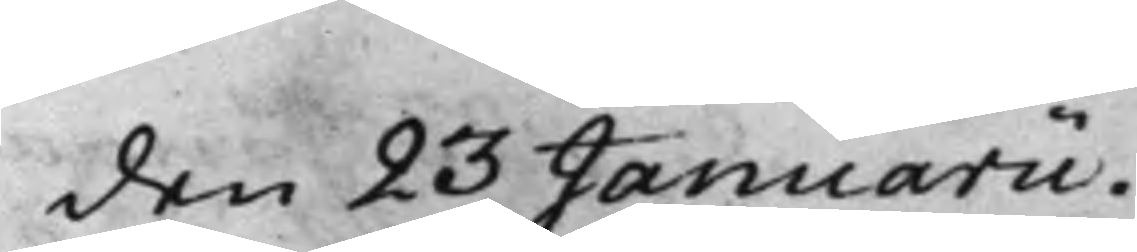den 23 Januarii.
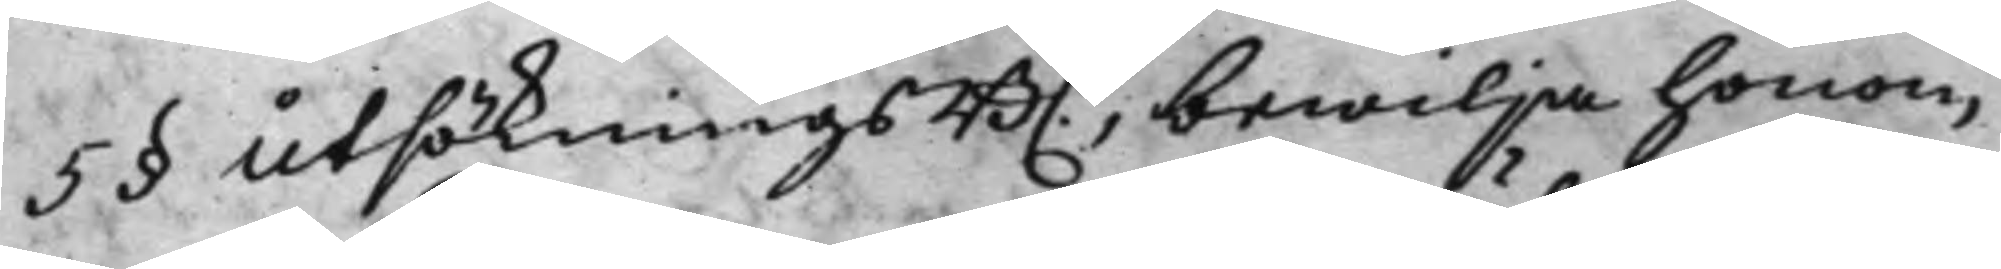5 § UtsökningsB.n, bewilja honom
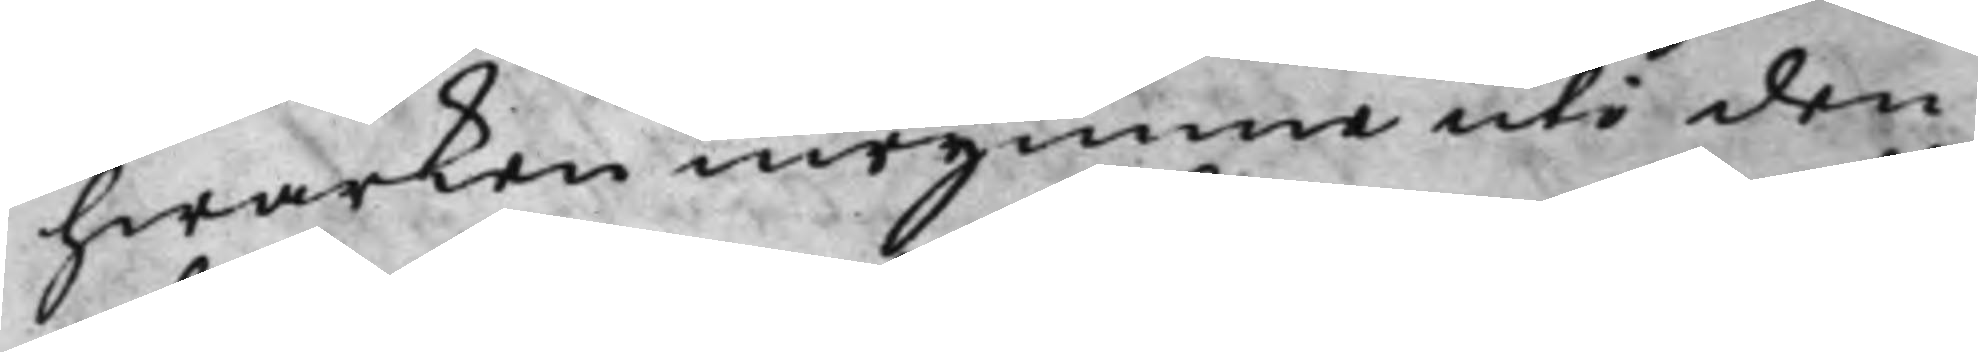hwarken inrymma uti den
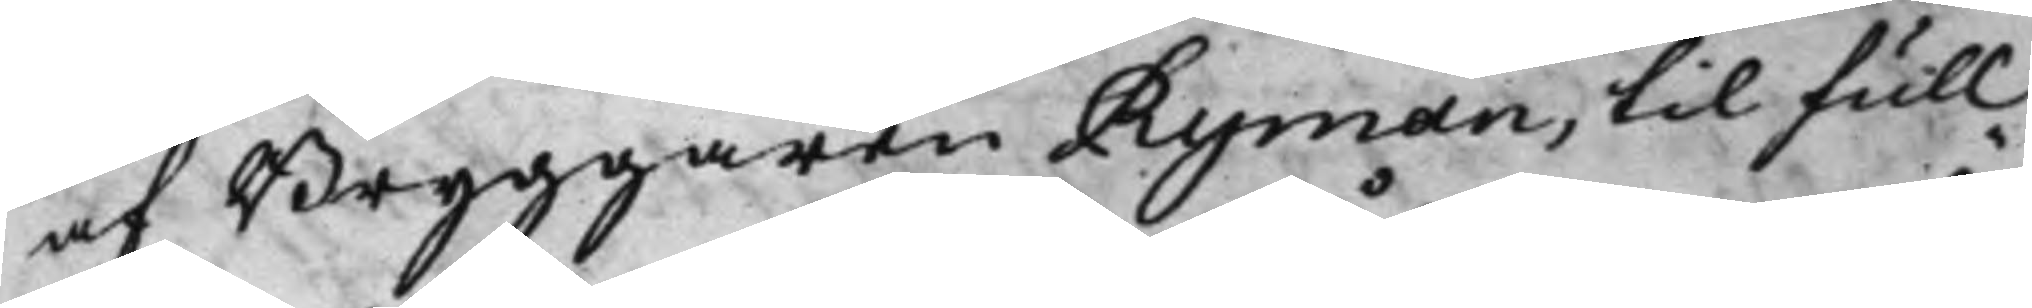af Bryggaren Ryman, till full¬
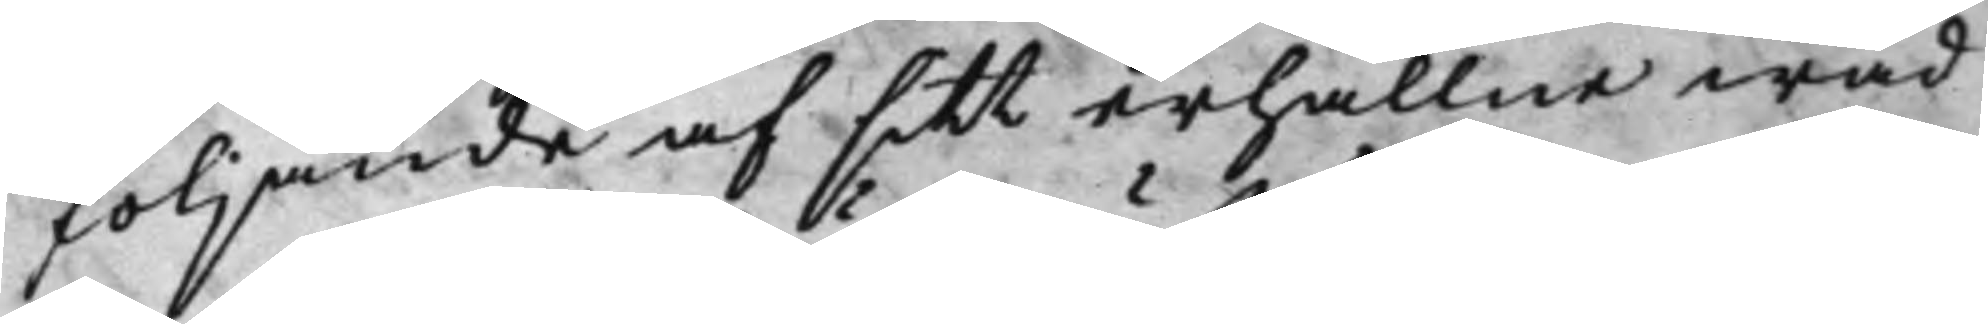följande af sitt erhållne wad
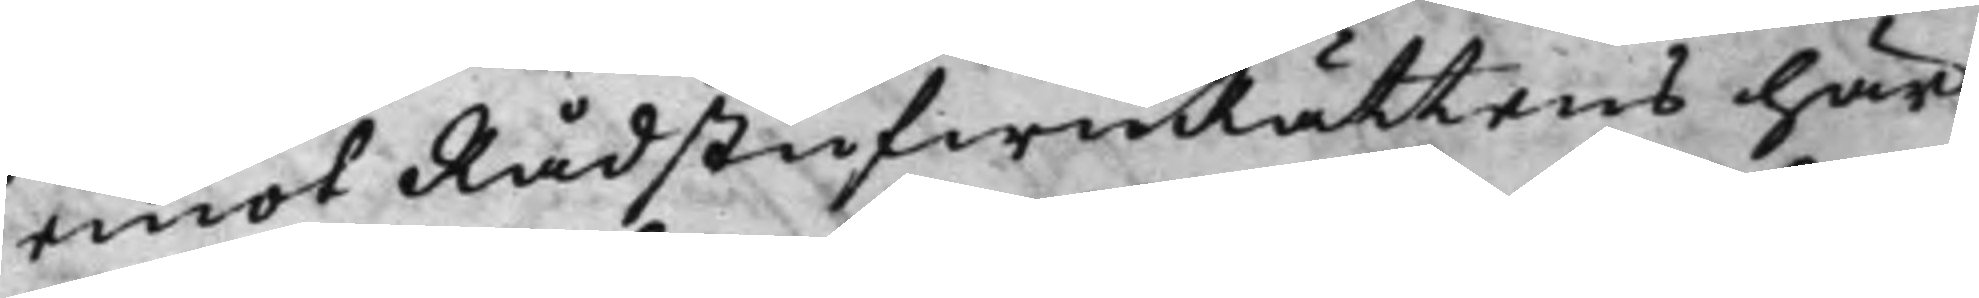emot RådstufwuRättens här
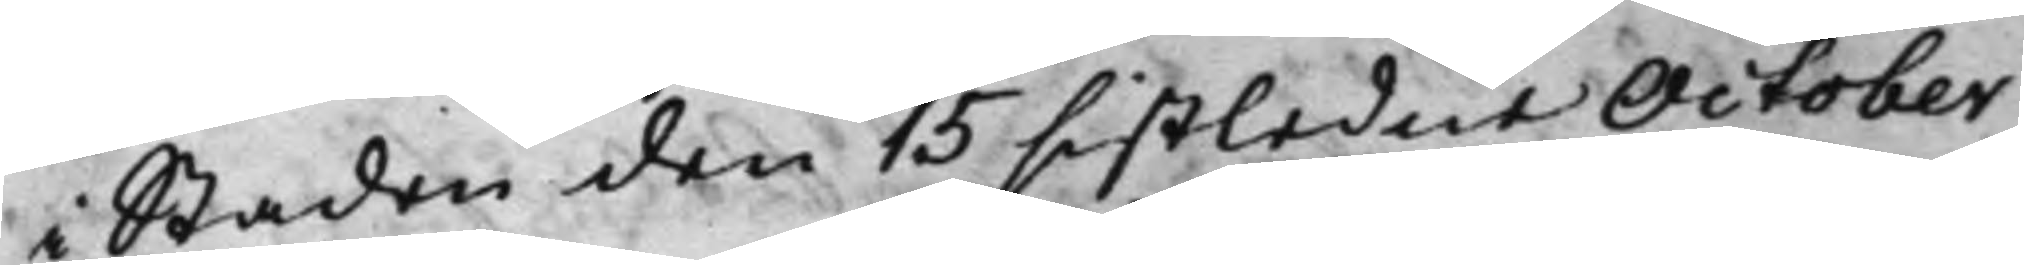i Staden den 15 sistledne October
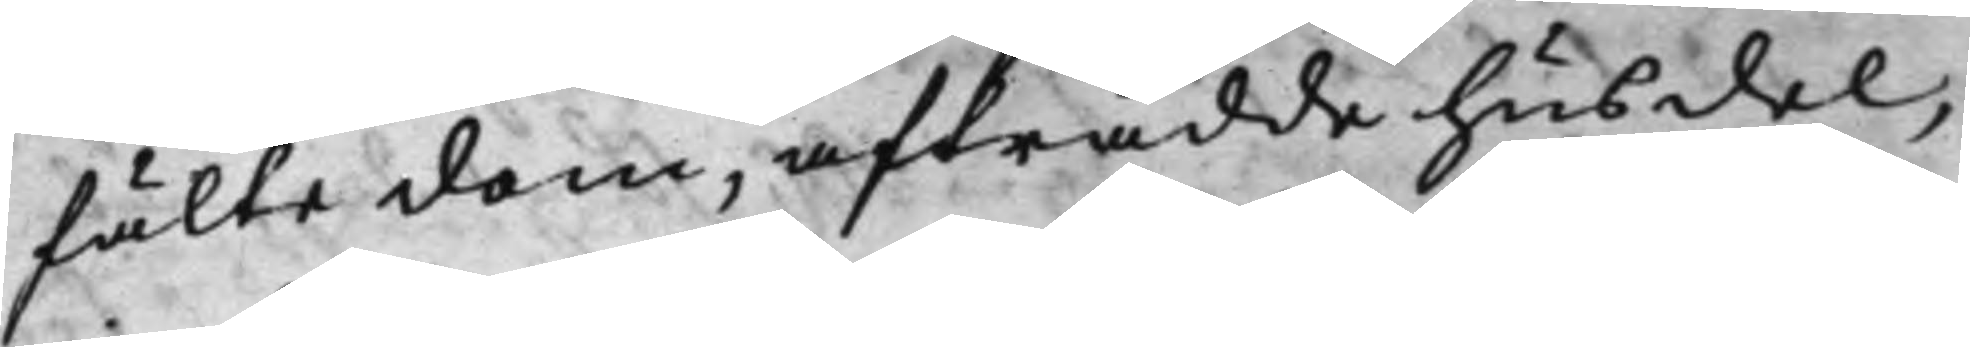fälte dom, afträdde husdel,
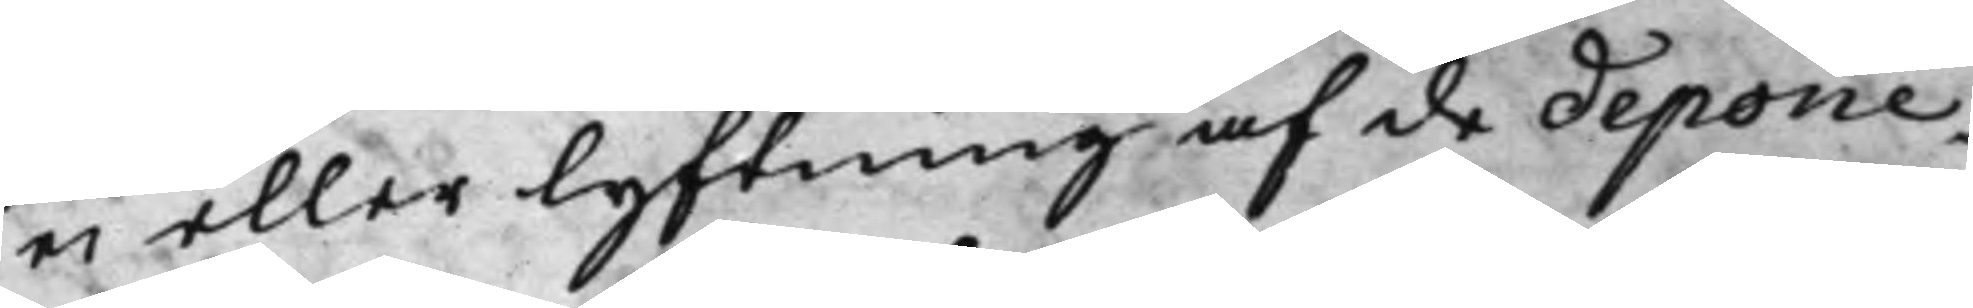ei eller lyftning af de depone¬
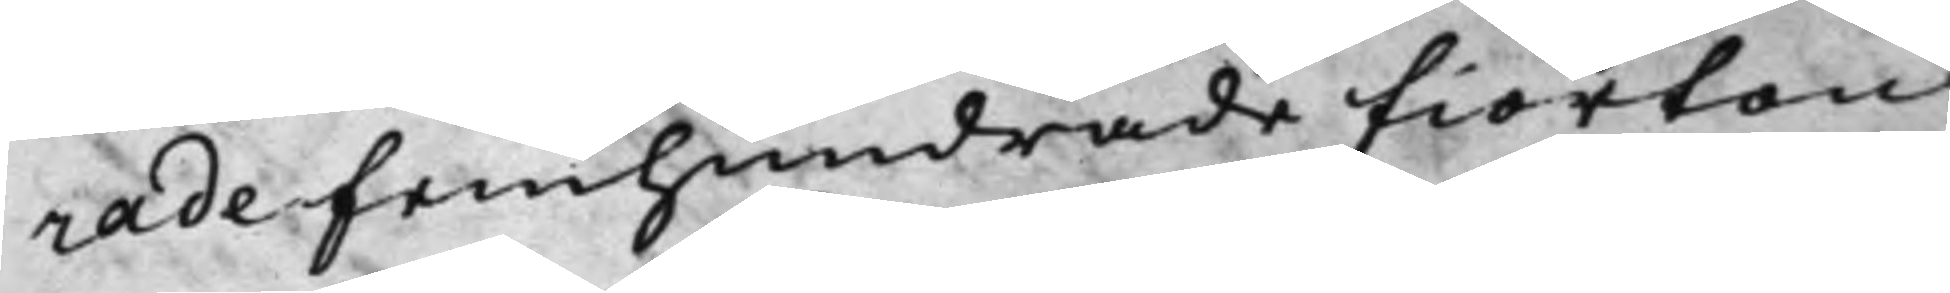rade femhundrade fiorton
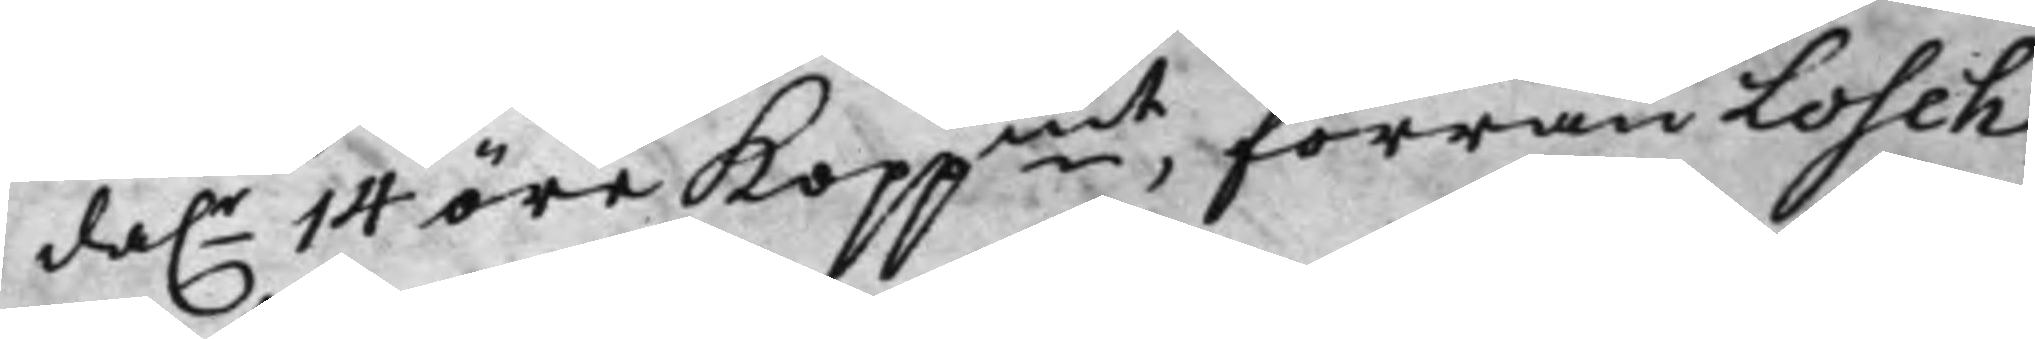da.r 14 öre Koppmt, förrän Losch
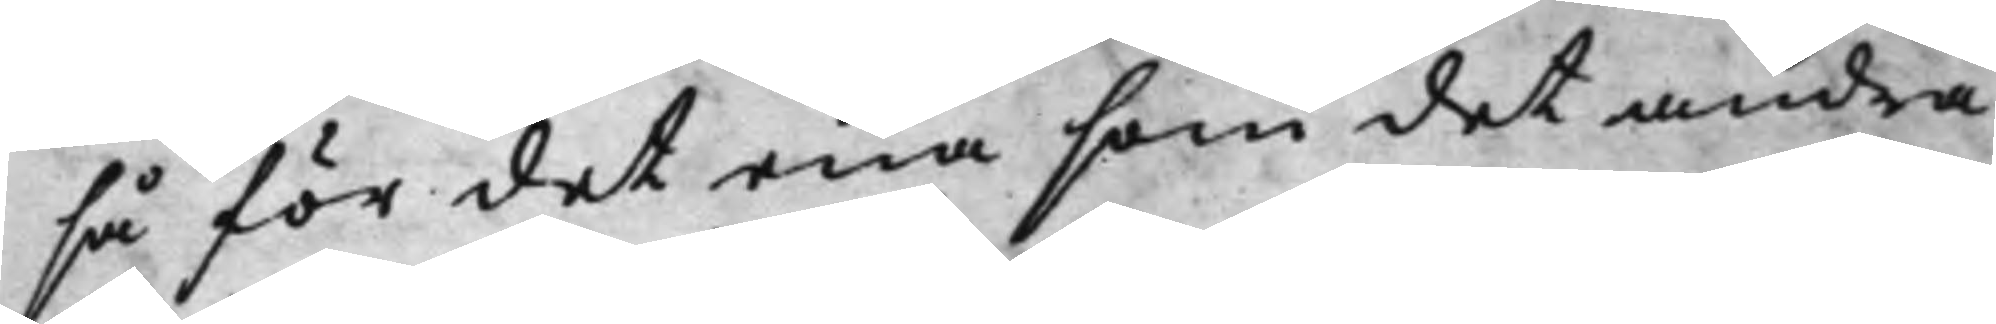så för det ena som det andra
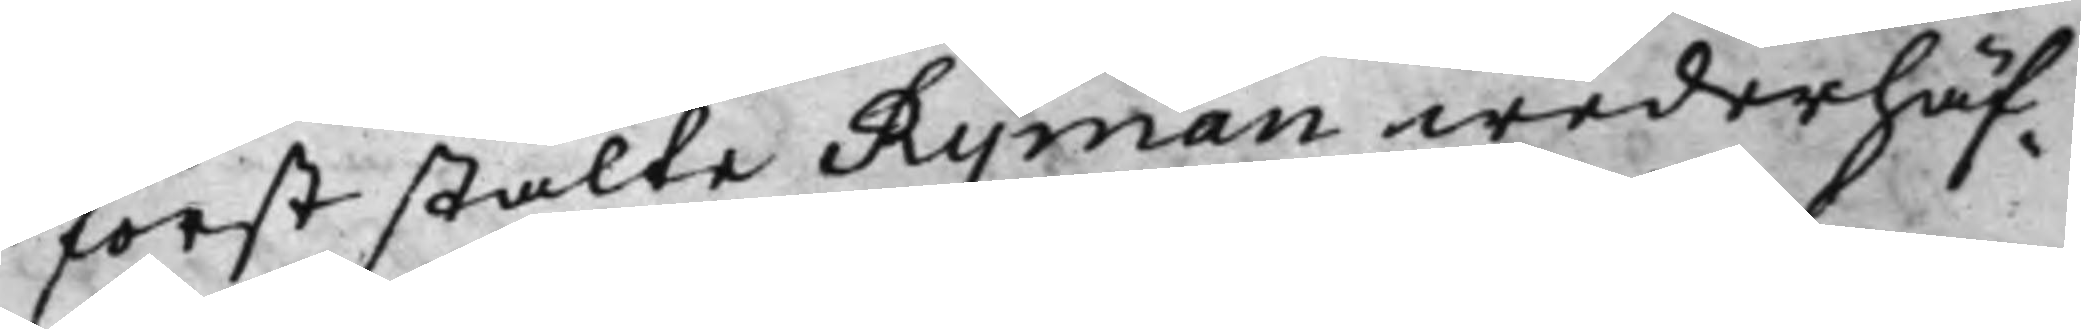först stälte Ryman wederhäf¬
